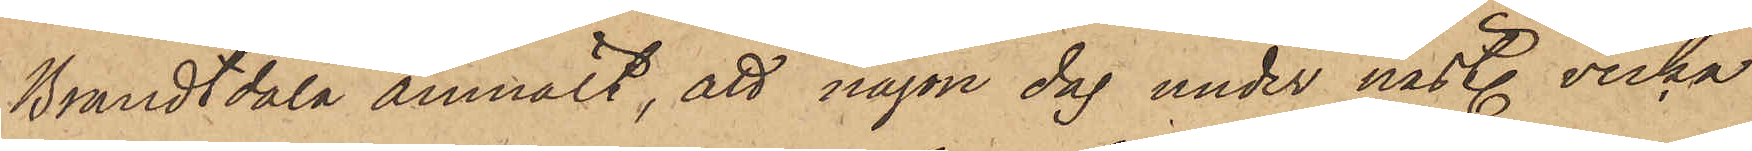Brandtdala anmält, att någon dag under nästl. vecka
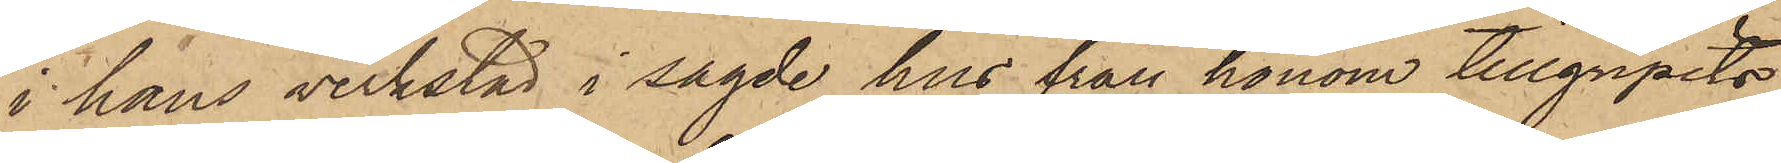i hans verkstad i sagde hus från honom tillgripits
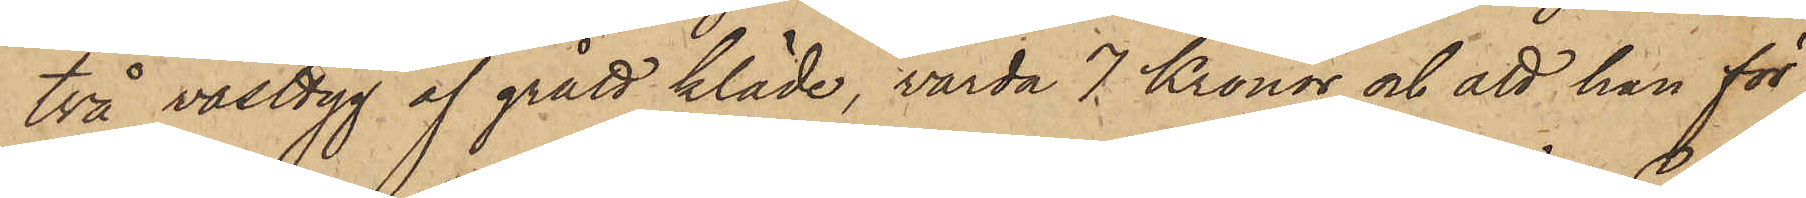två västtyg af grått kläde, värda 7 Kronor och att han för
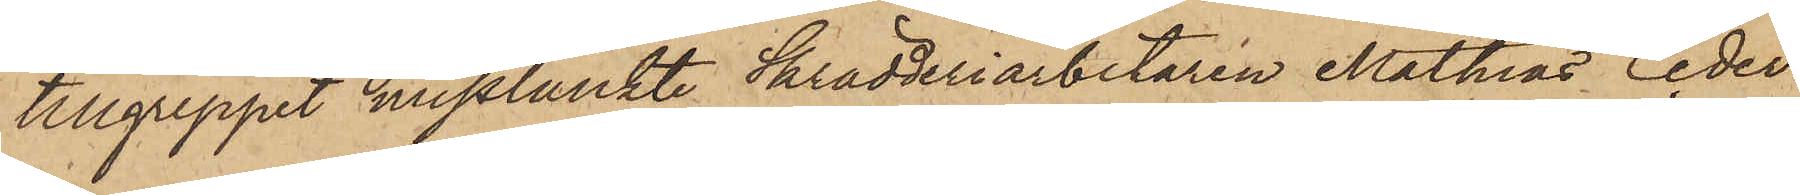tillgreppet misstänkte Skrädderiarbetaren Mathias Ceder¬
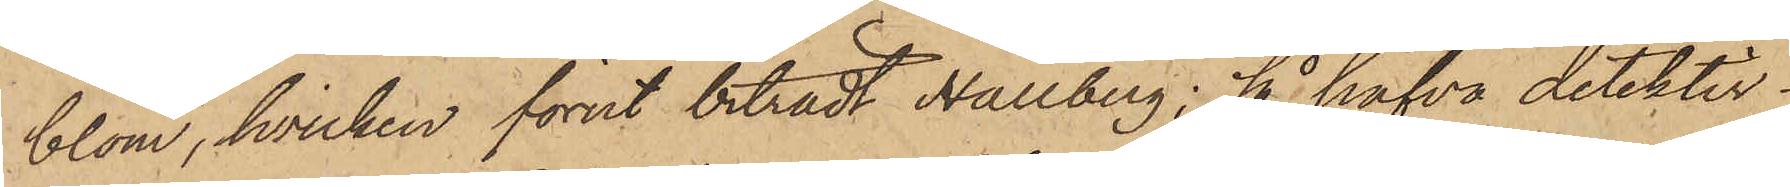blom, hvilken förut biträdt Hallberg; så hafva detektiv¬
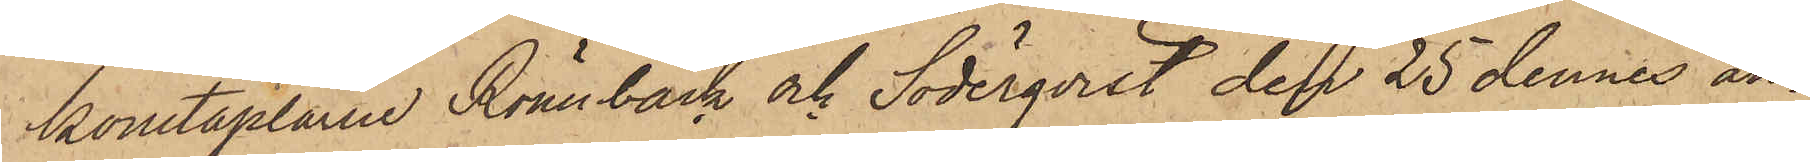konstaplarne Rönnbäck och Söderqvist den 25 dennes an¬
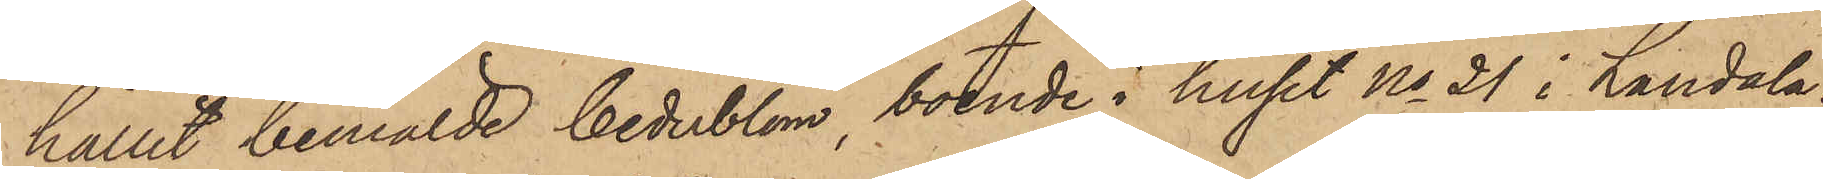hållit bemälde Cederblom, boende i huset No 21 i Landala,
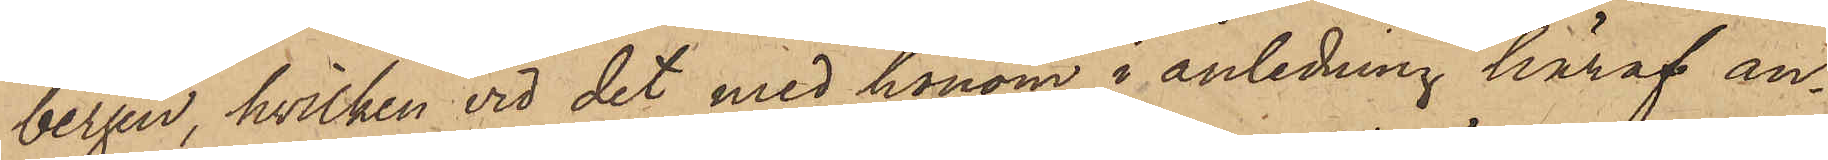bergen, hvilken vid det med honom i anledning häraf an¬
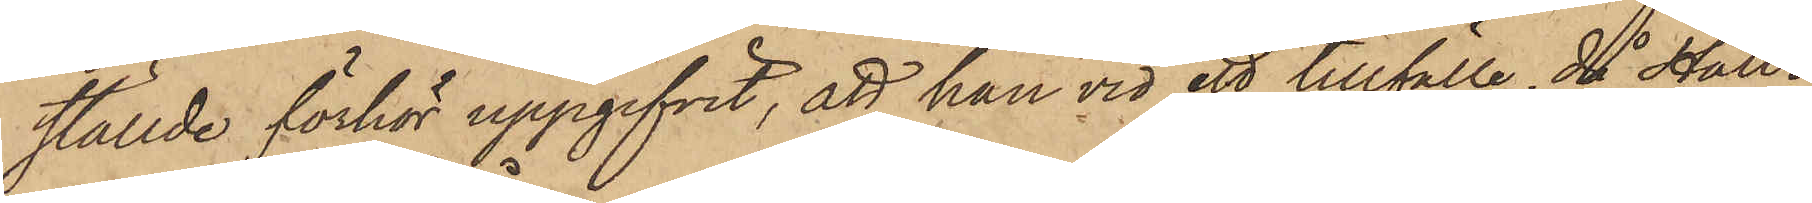ställde förhör uppgifvit, att han vid ett tillfälle, då Hall¬
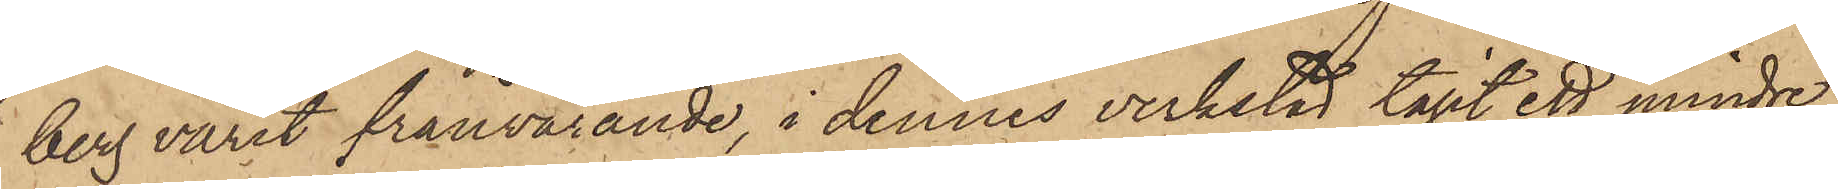berg varit frånvarande, i dennes verkstad tagit ett mindre
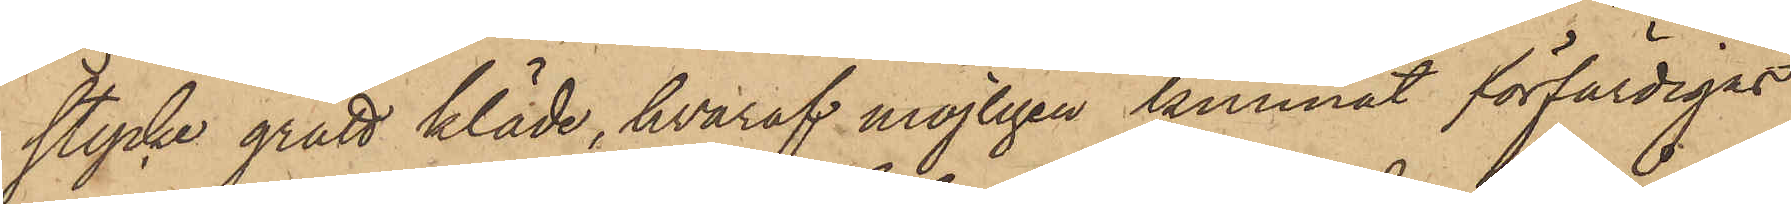stycke grått kläde, hvaraf möjligen kunnat förfärdigas
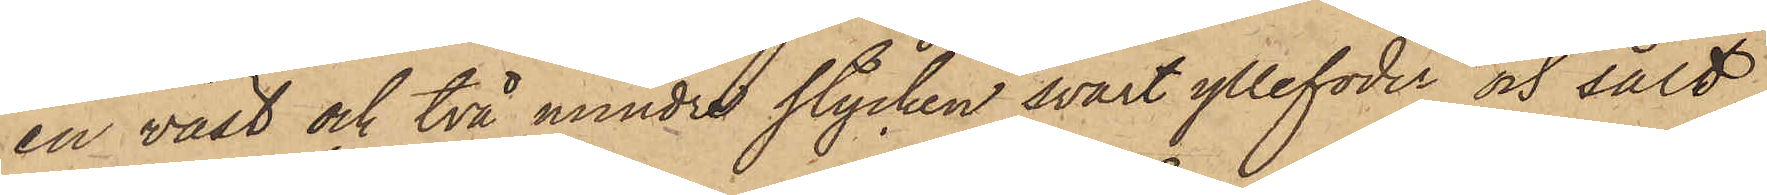en väst och två mindre stycken svart yllefoder och sålt
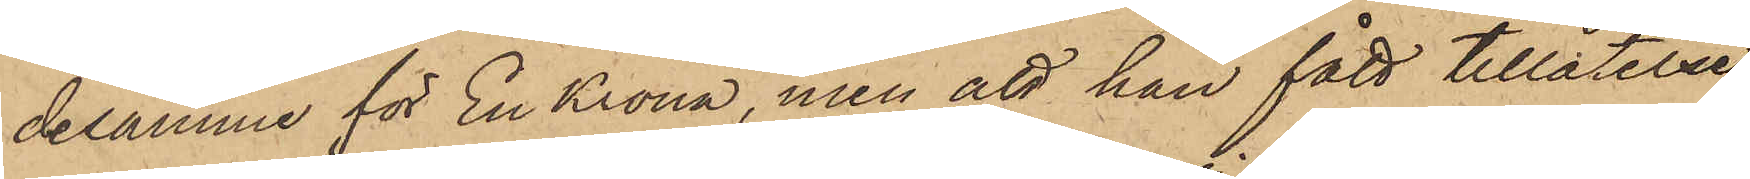desamme för En Krona, men att han fått tillåtelse
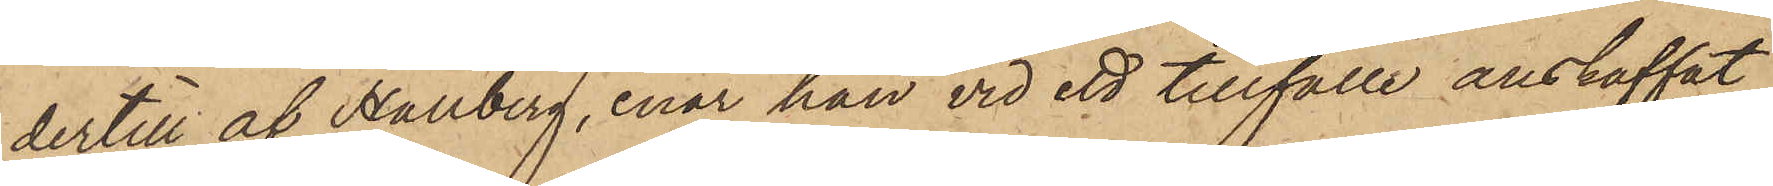dertill af Hallberg, enär han vid ett tillfälle anskaffat
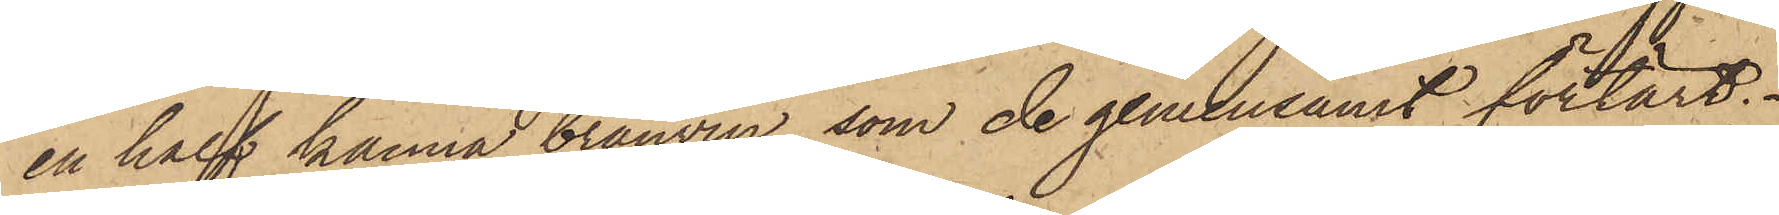en half kanna brännvin, som de gemensamt förtärt.
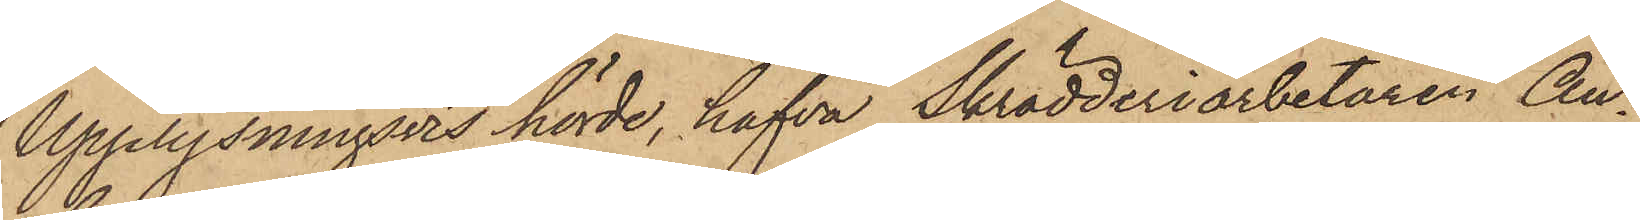Upplysningsvis hörde, hafva Skrädderiarbetaren An¬
